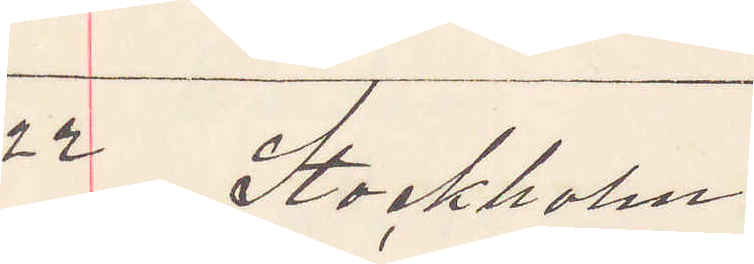22 Stockholm.
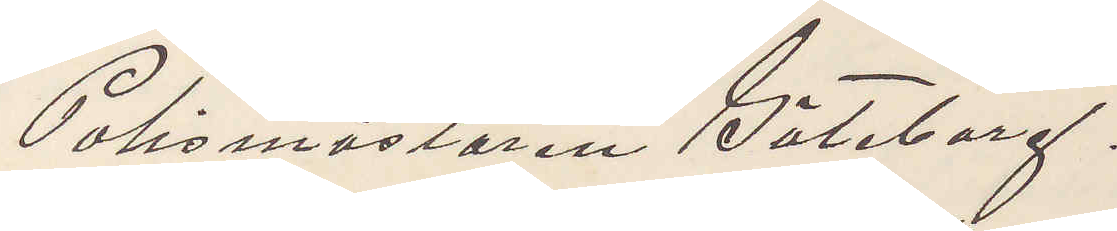Polismästaren Göteborg.
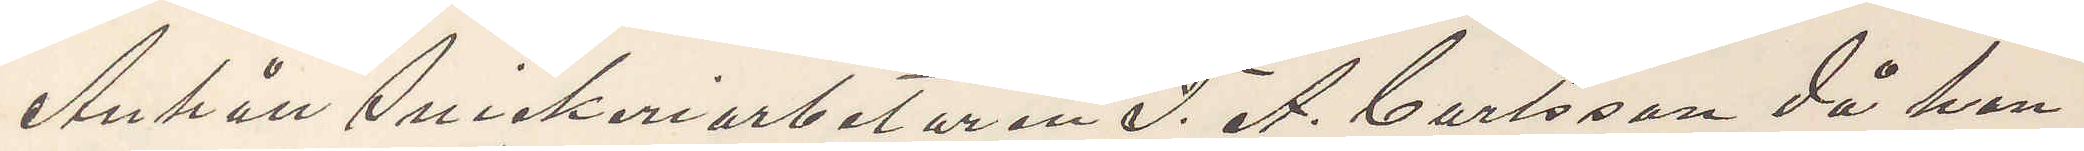Anhåll Snickeriarbetaren F. A. Carlsson då han
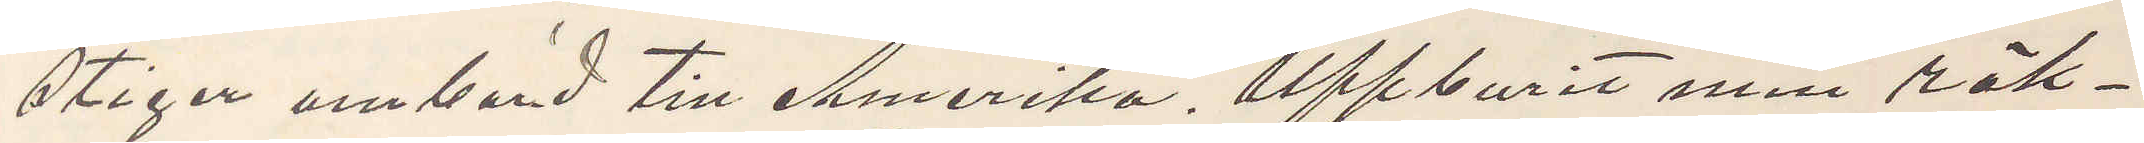stiger ombord till Amerika. Uppburit min räk¬
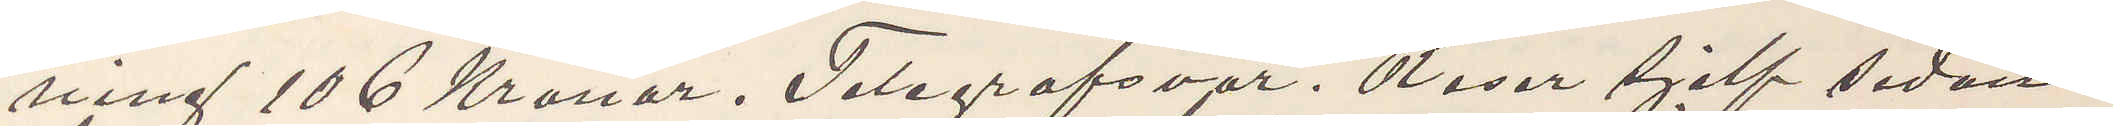ning 106 Kronor. Telegrafsvar. Reser sjelf sedan
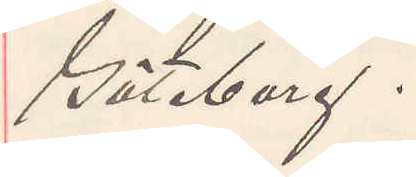Göteborg.
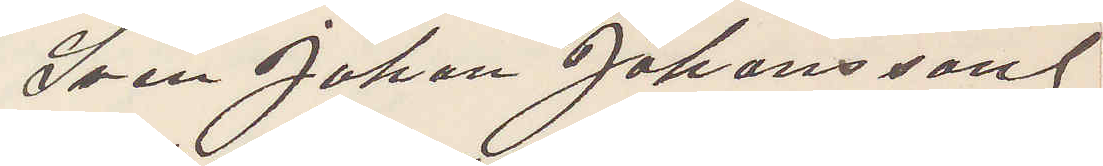Sven Johan Johansson
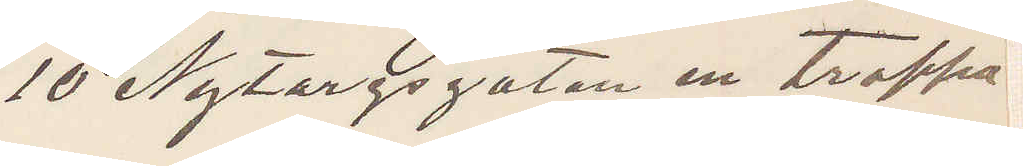10 Nytorgsgatan en trappa
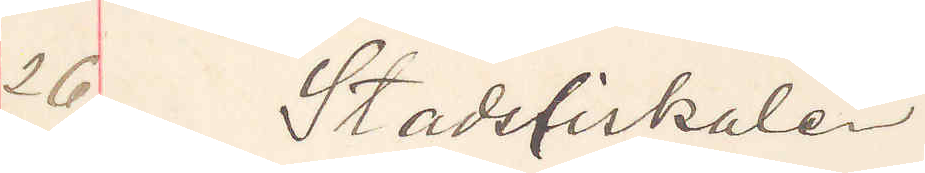26 Stadsfiskalen
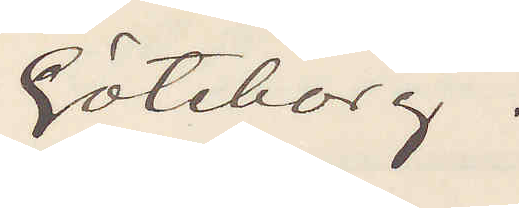Göteborg.
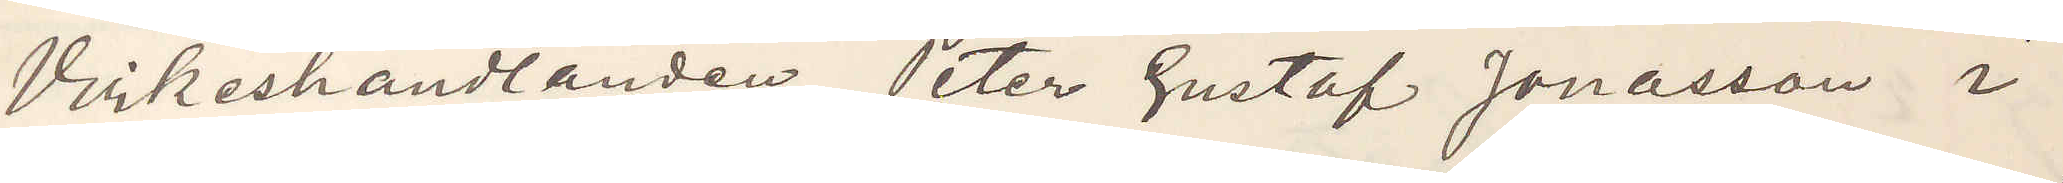Virkeshandlanden Peter Gustaf Jonasson i
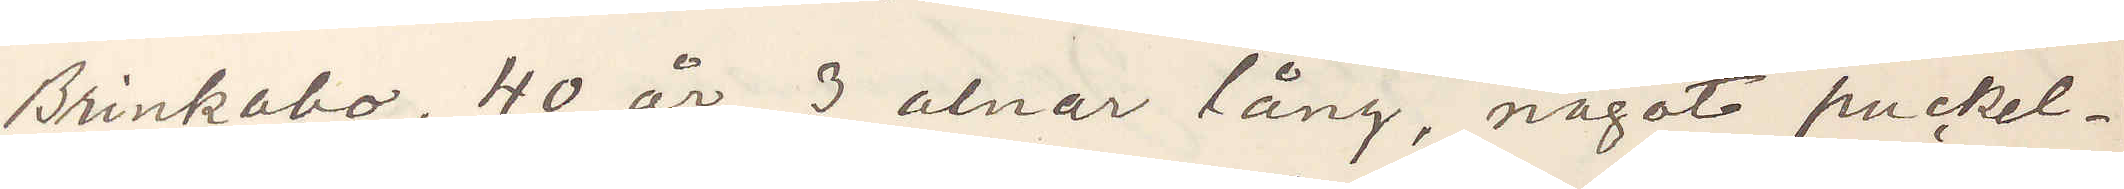Brinkabo, 40 år 3 alnar lång, något puckel¬
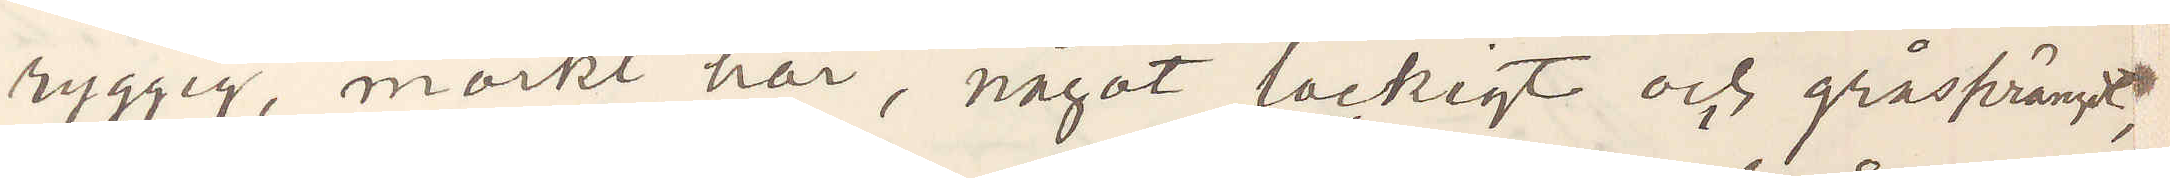ryggig, mörkt hår, något lockigt och gråsprängdt,
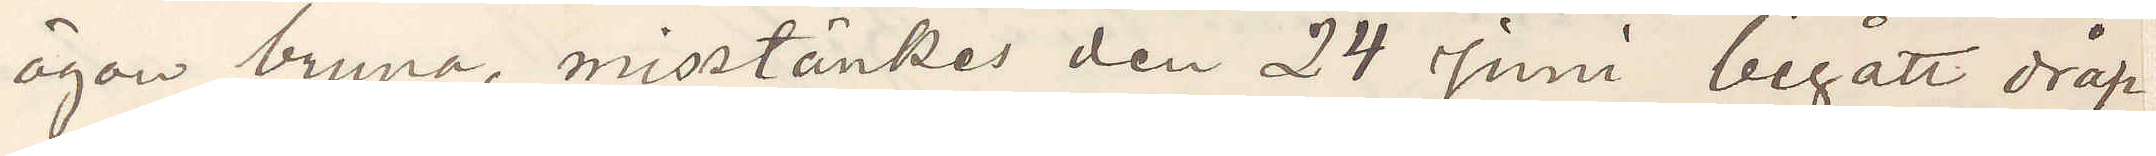ögon bruna, misstänkes den 24 Juni begått dråp
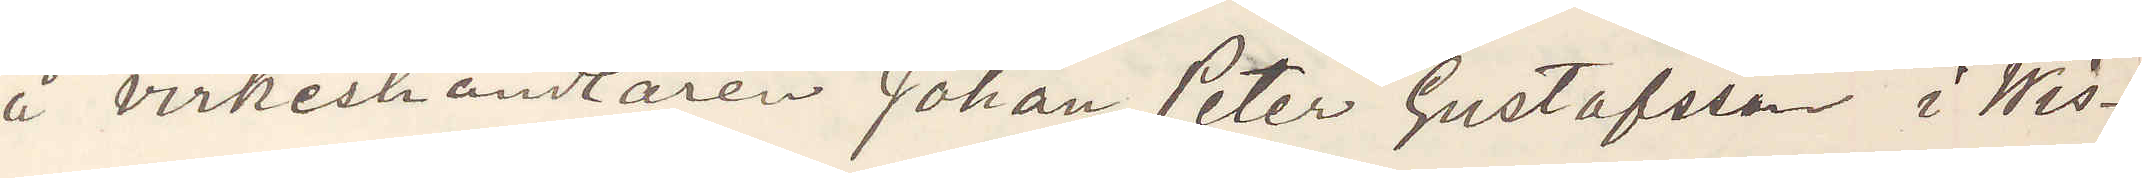å virkeshandlaren Johan Peter Gustafsson i Wis¬
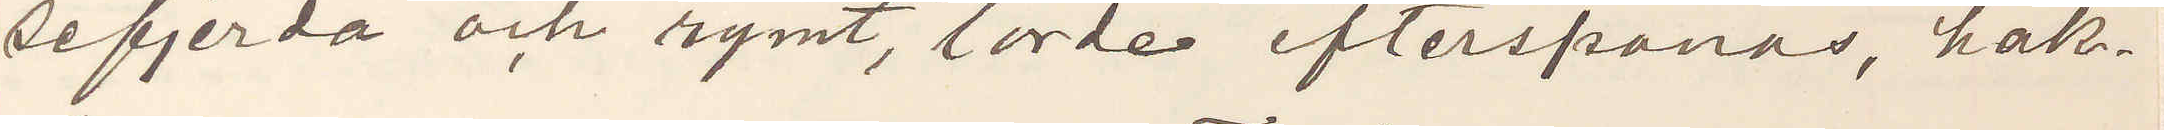sefjerda och rymt, torde efterspanas, häk¬
